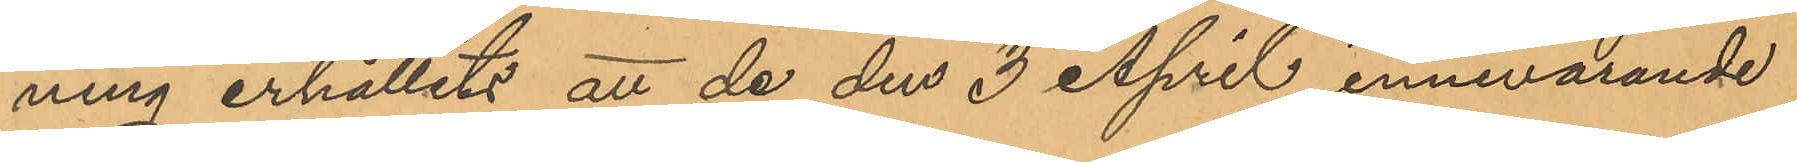ning erhållits att de den 3 April innevarande
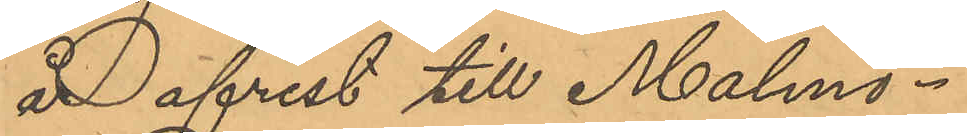år afrest till Malmö.
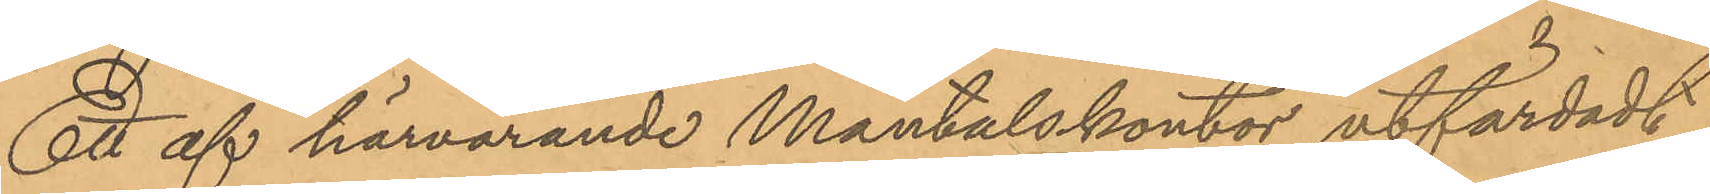Ett af härvarande Mantalskontor utfärdadt
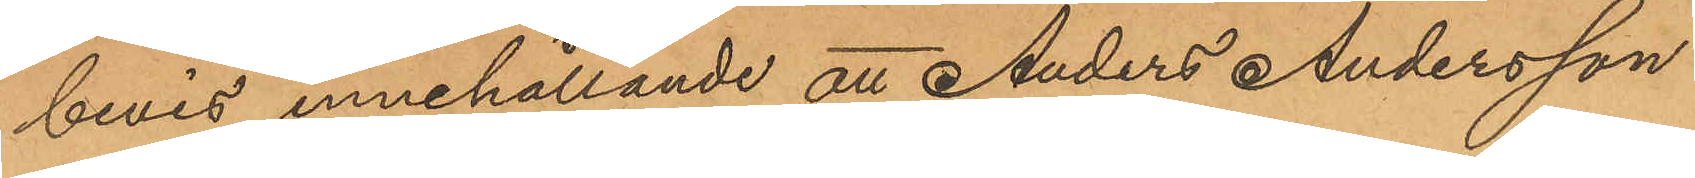bevis, innehållande att Anders Andersson
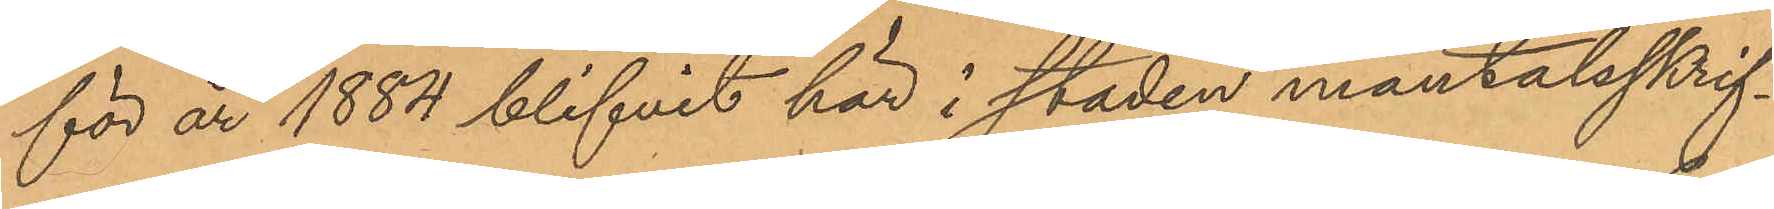för år 1884 blifvit här i staden mantalsskrif¬
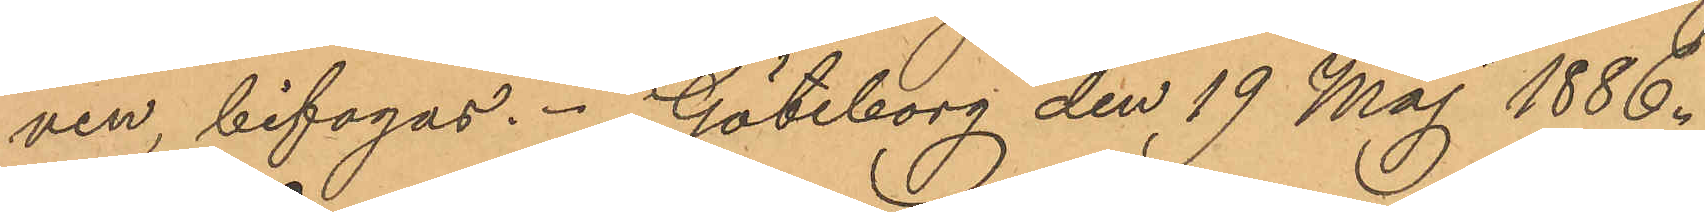ven, bifogas. Göteborg den 19 Maj 1886.
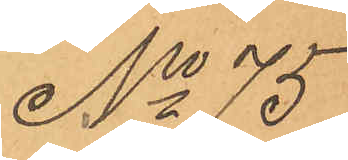No 75
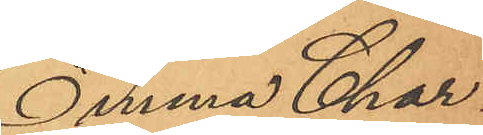Emma Char¬
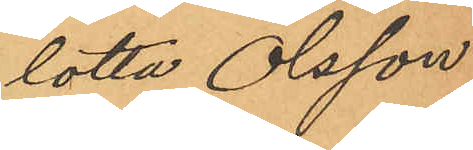lotta Olsson.
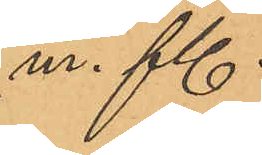m. fl
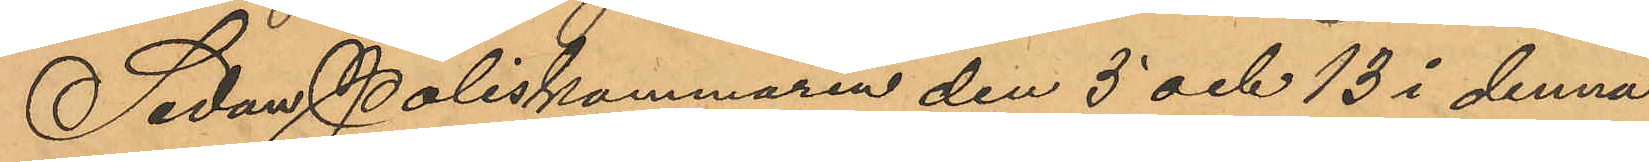Sedan Poliskammaren den 5 och 13 i denna
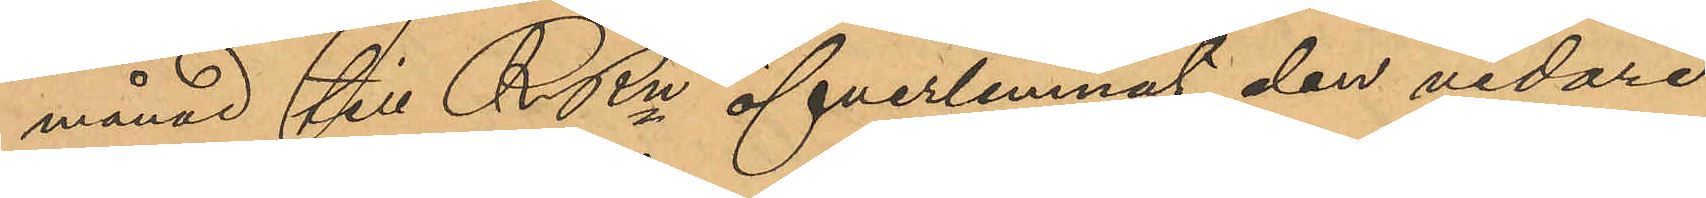månad till RRn öfverlemnat den vidare
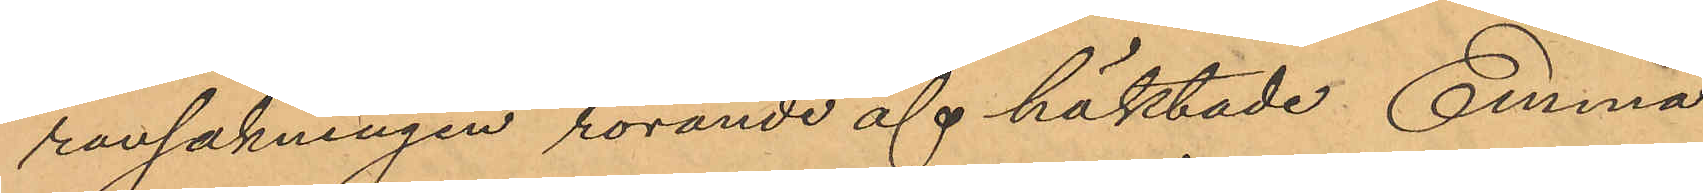ransakningen rörande af häktade Emma
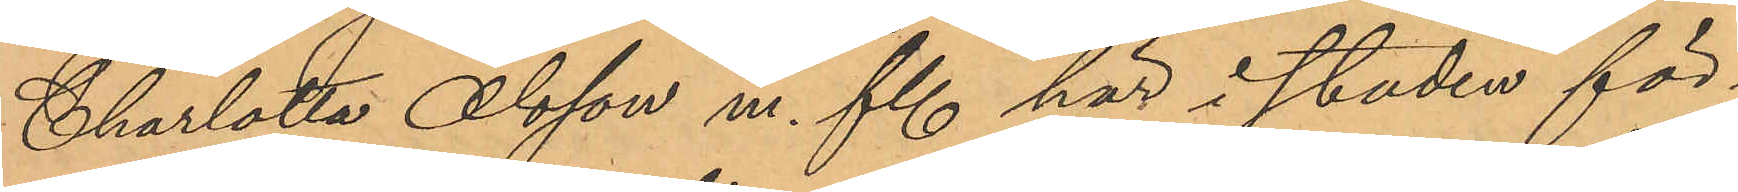Charlotta Olsson m. fl här i staden för¬
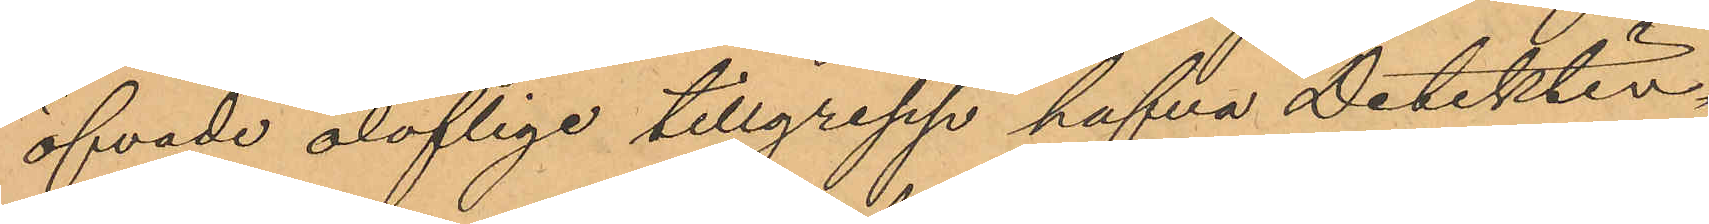öfvade oloflige tillgrepp hafva Detektiv¬
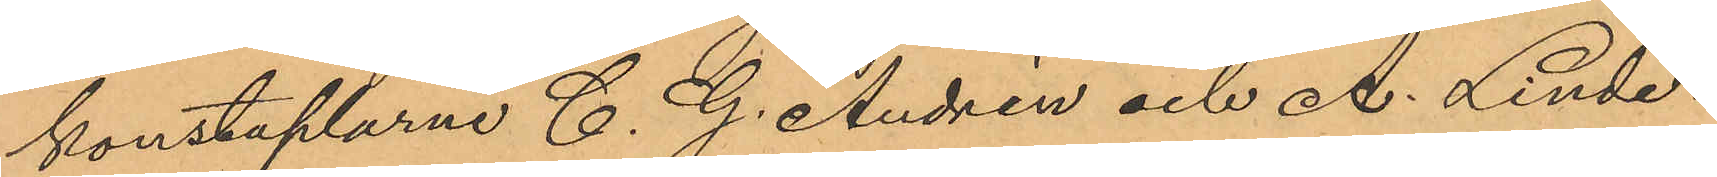konstaplarne C. G. Andrén och A. Linde¬
